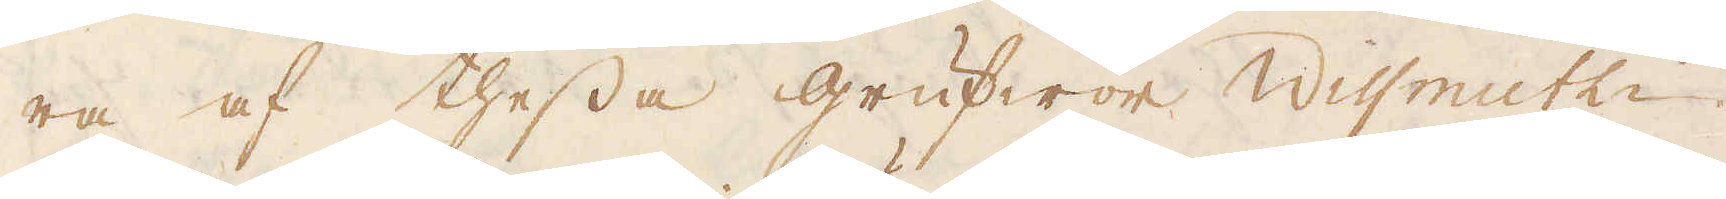ra af thessa grufwor Wissmuth-
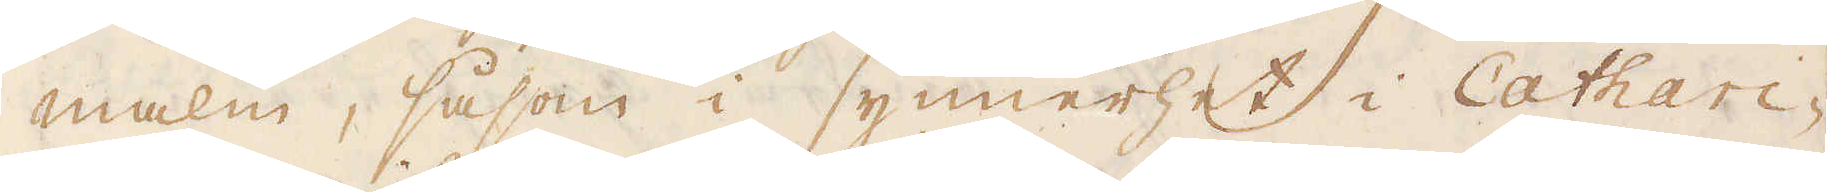malm, såsom i synnerhet i Cathari-
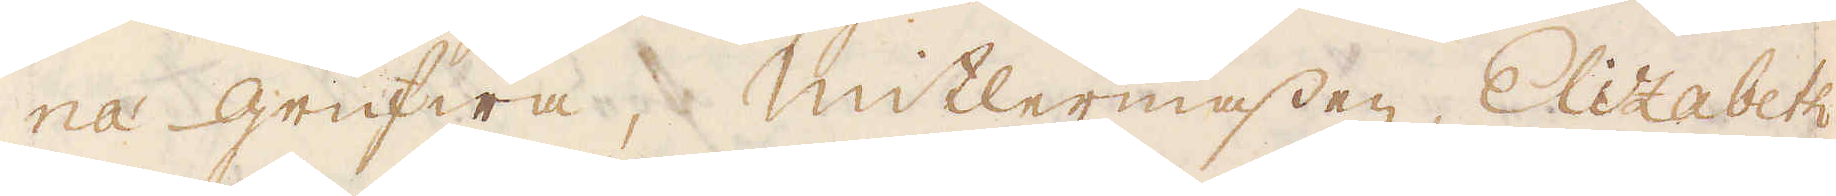na grufwa, Mitlermassen, Elizabeth,
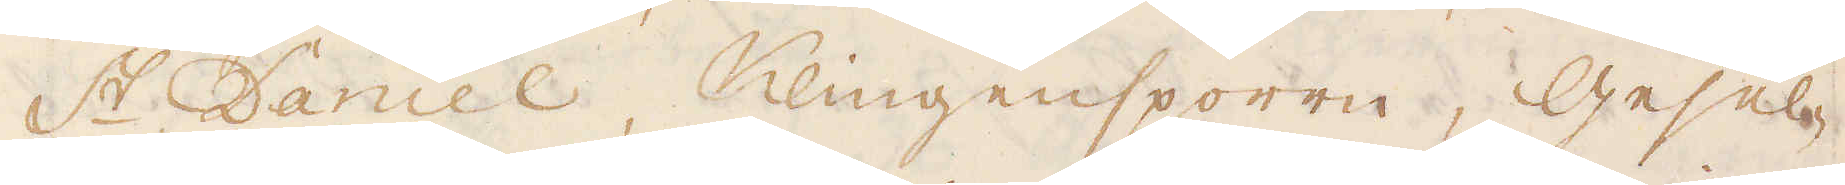St Daniel, Klingensporrn, Gesel-
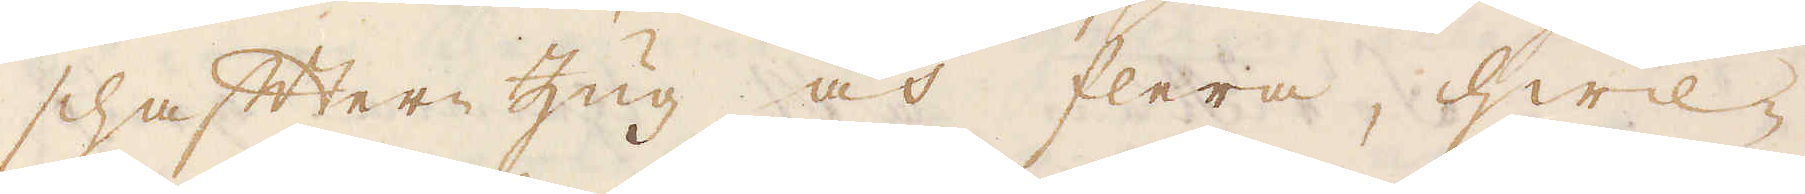schafter Zug och flera, hwil-
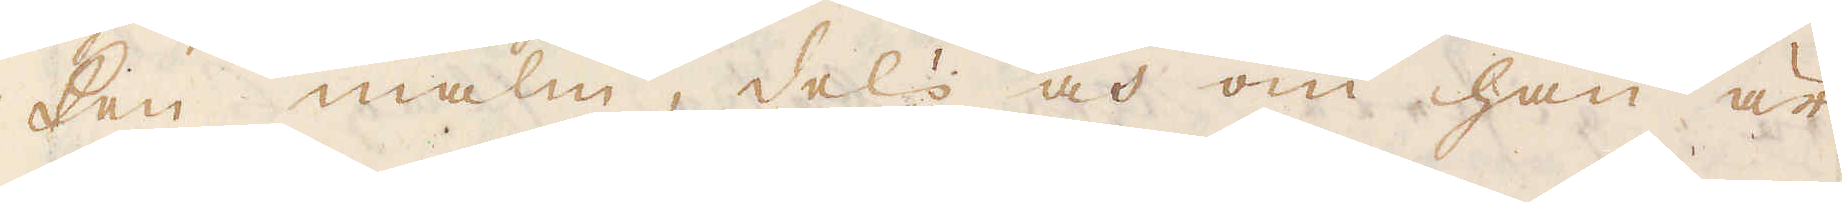ken malm, dels och om han är
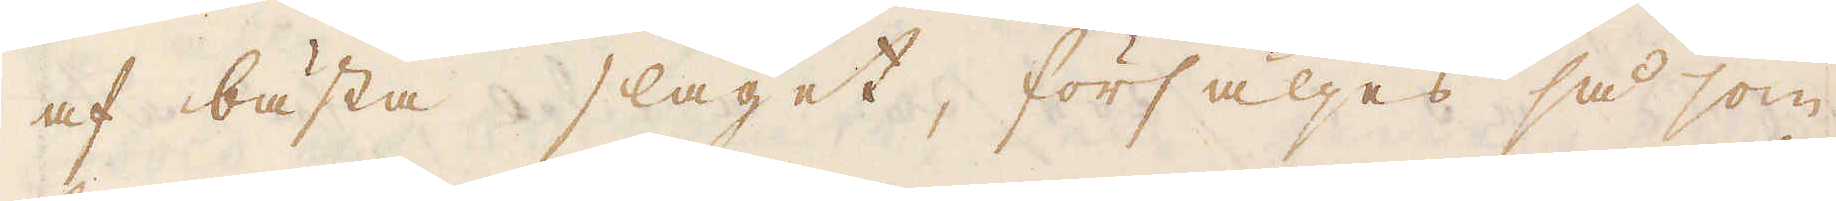af bästa slaget, försäljes så som
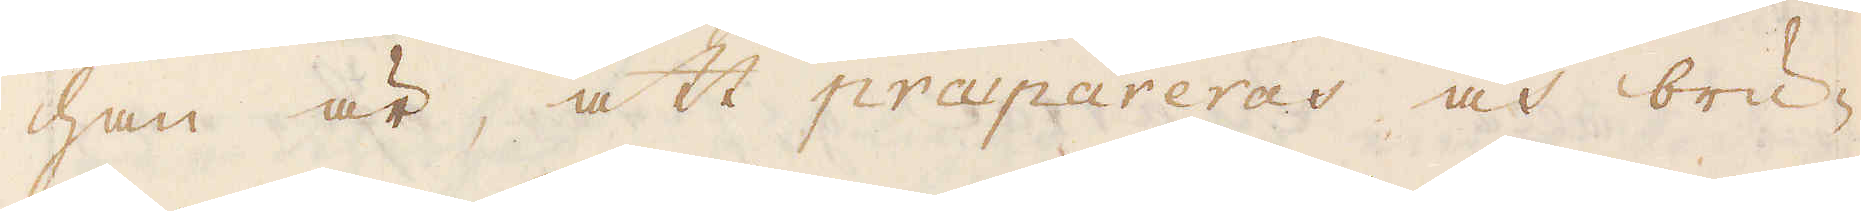han är, att præpareras och bru-
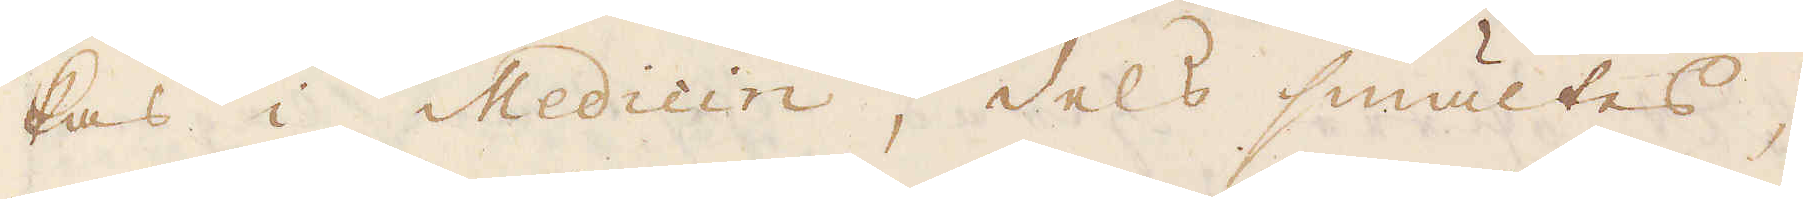kas i Medicin, dels smältes,
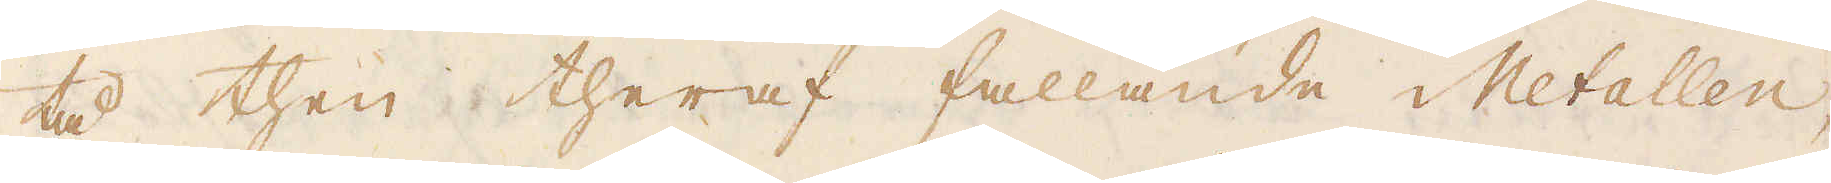tå then theraf fallande Metallen,
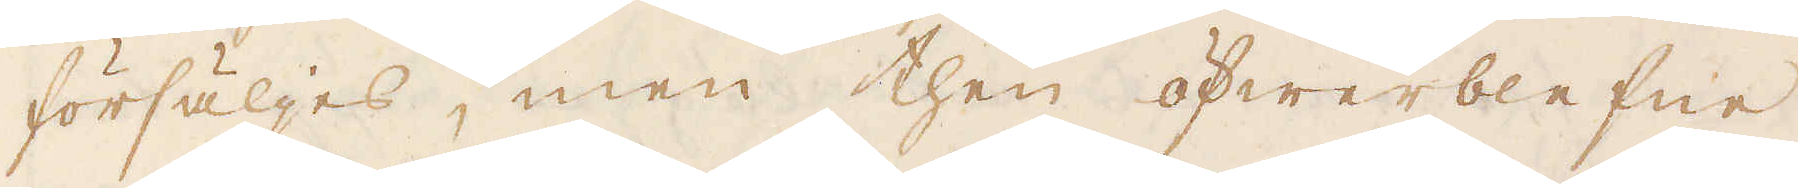försäljes, men then öfwerblefne
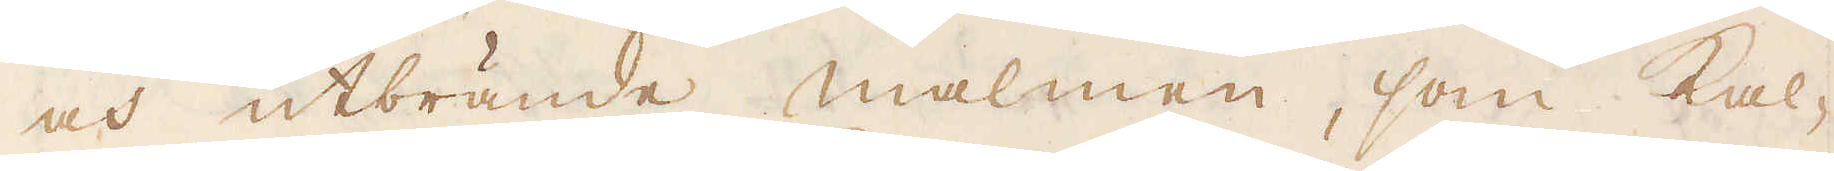och utbrände malmen, som kal-
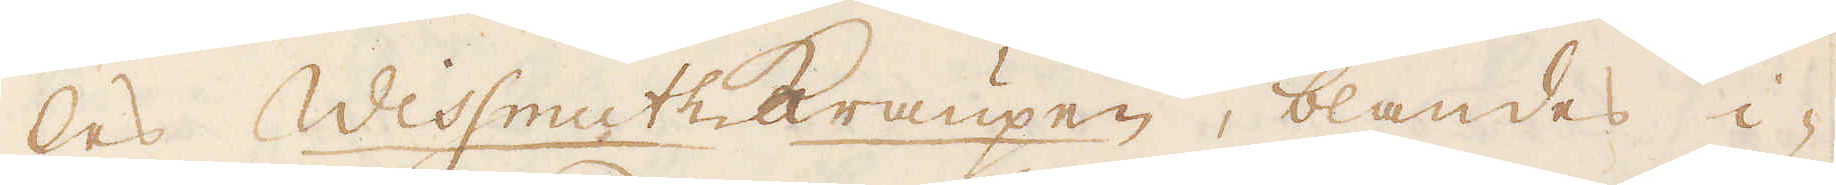les Wissmuthkraupen, blandes i-
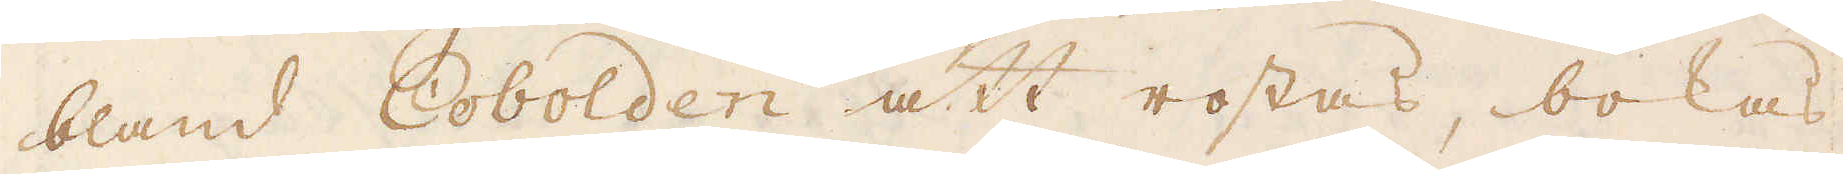bland Cobolden att rostas, bockas
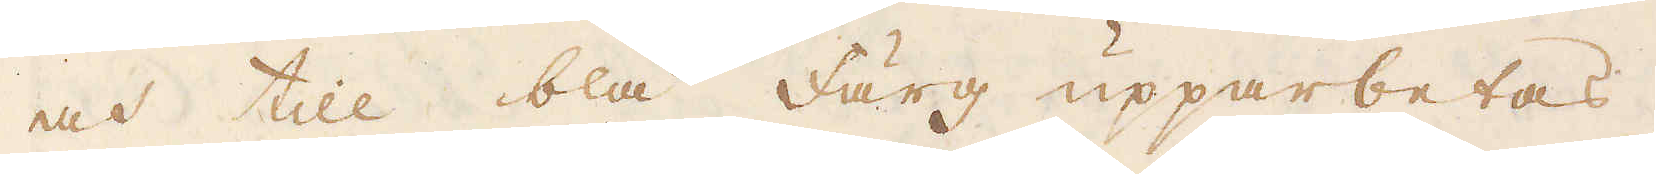och till blå färg upparbetas.
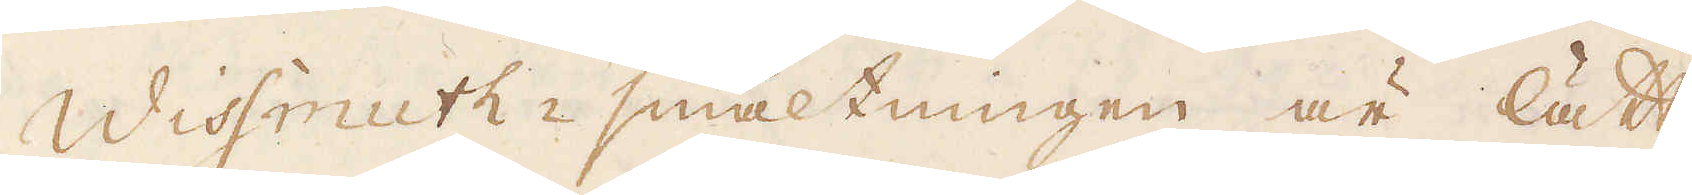Wissmuth-smältningen är lätt,
